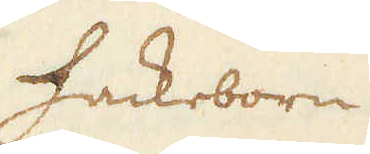Hackeborn
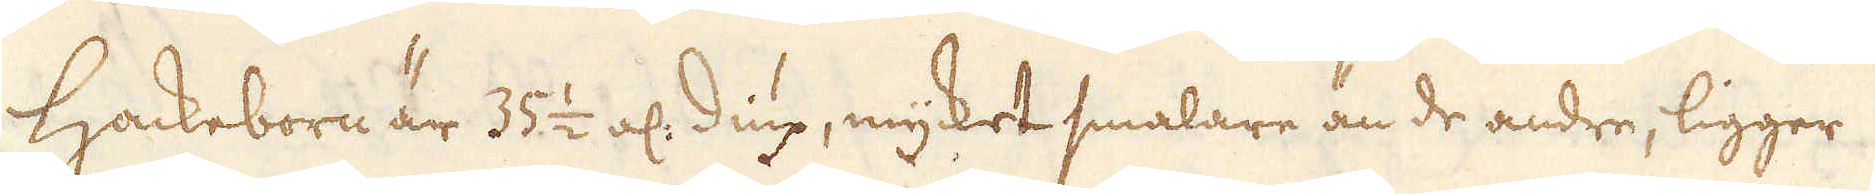Hackeborn är 35 1/2 al: diup, mycket smalare än de andre, ligger
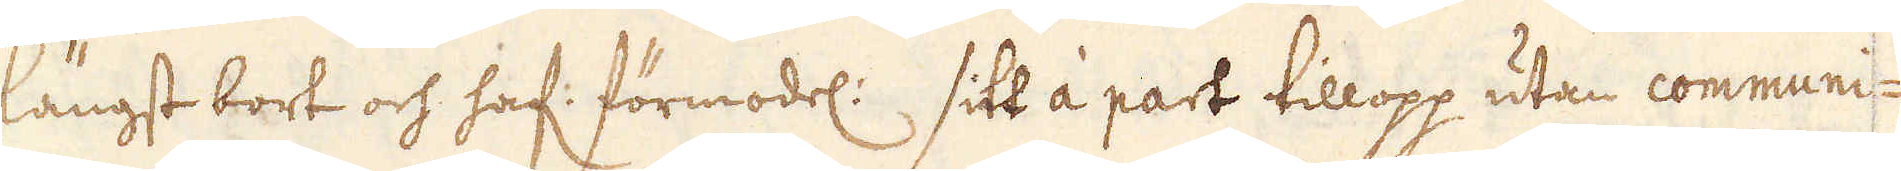längst bort och haf: förmodel: sitt à part tillopp utan communi-
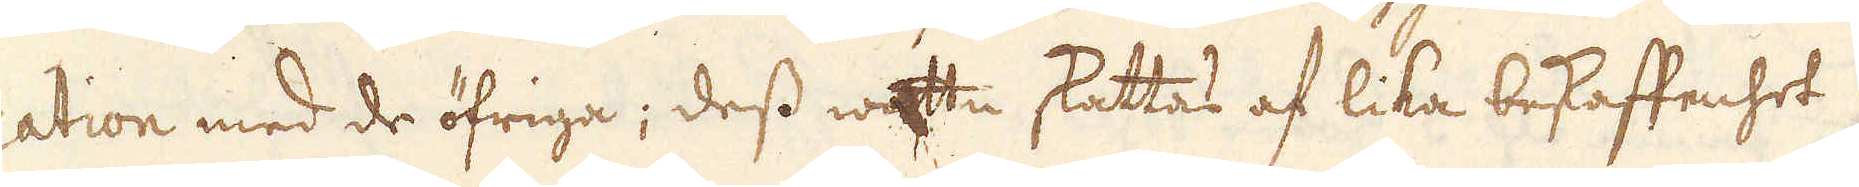cation med de öfriga; dess wattn skattas af lika beskaffenhet
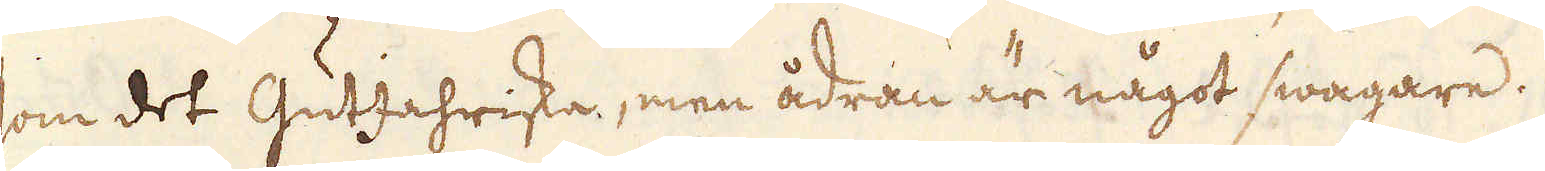som det GutJahriska, men ådran är något swagare.
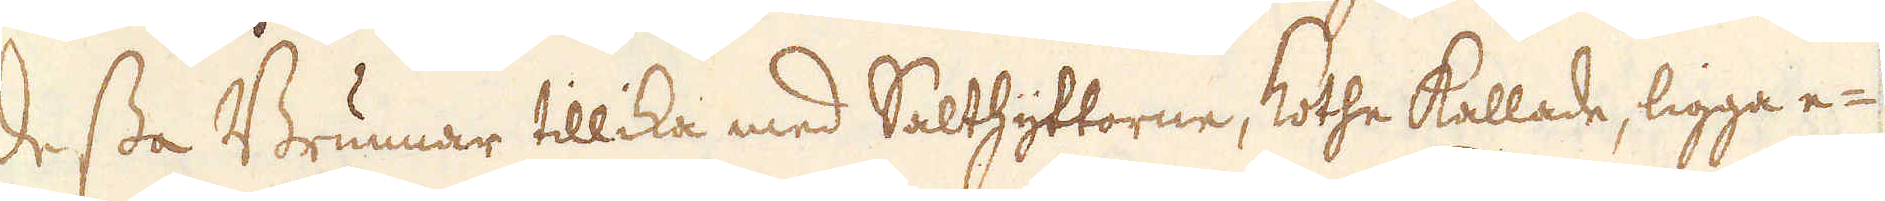Dessa Brunnar tillika med Salthyttorne, Kothe kallade, ligga e-
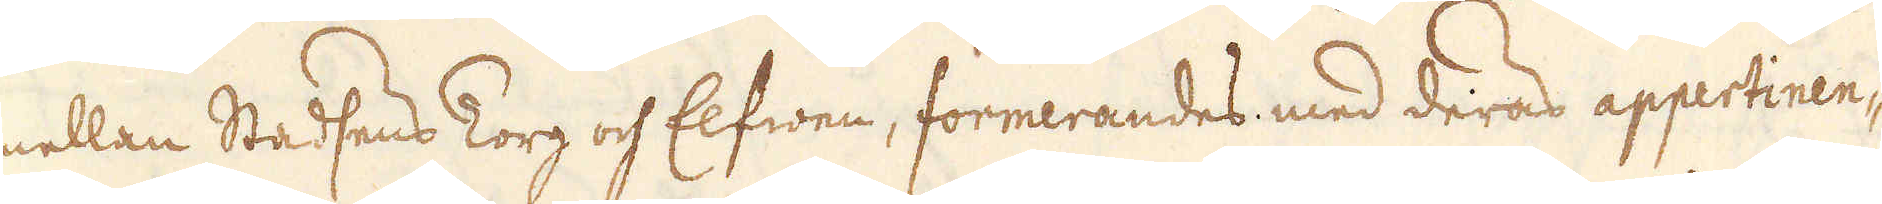mellan Stadsens Torg och Elfwen, formerandes med deras appertinen-
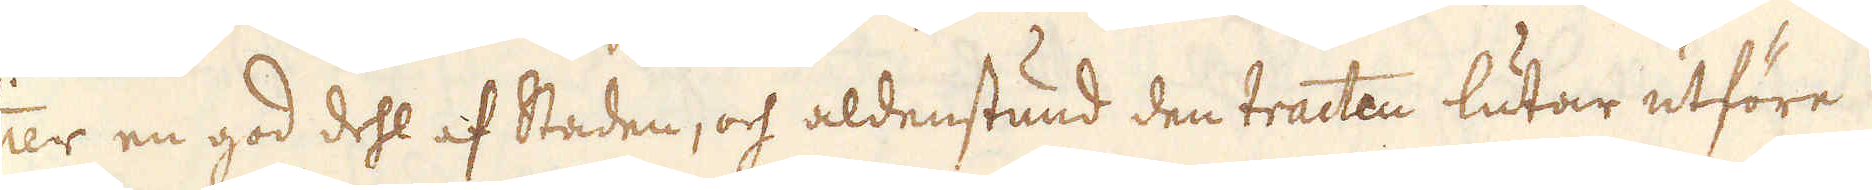tier en god dehl af Staden, och aldenstund den tracten lutar utföre
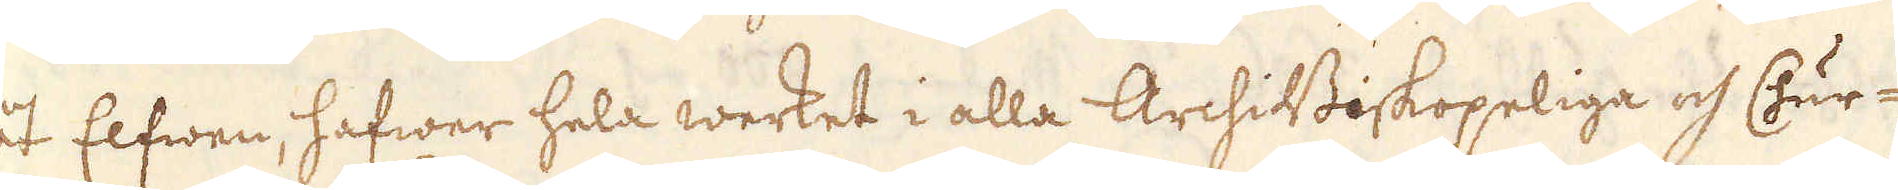åt Elfwen, hafwer hela werket i alla ArchiBiskopeliga och Chur-
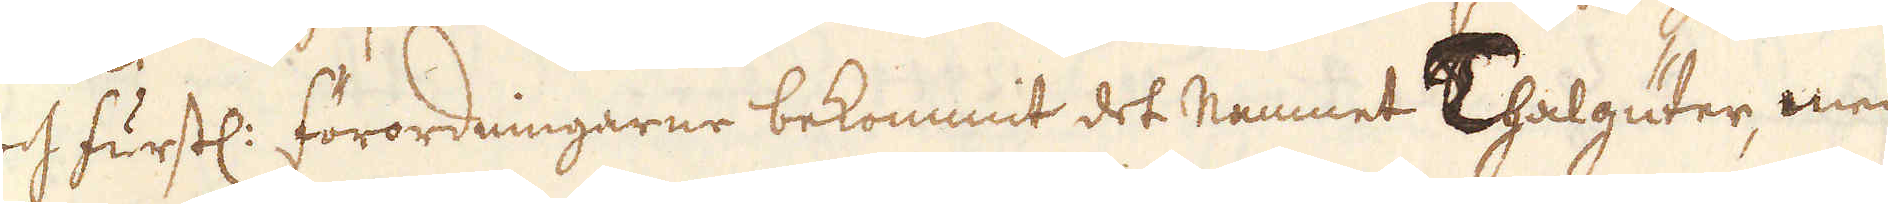och furstl: förordningarne bekommit det namnet Thalguter, men
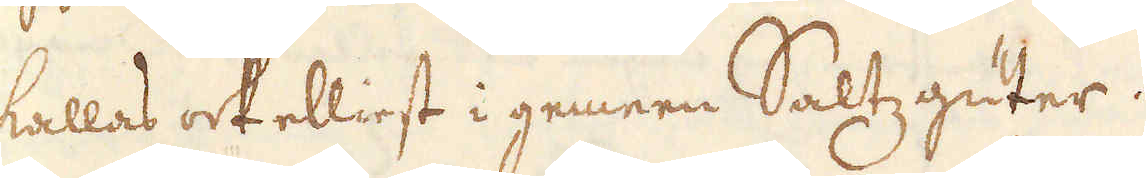kallas ock elliest i gemeen Saltzguter.
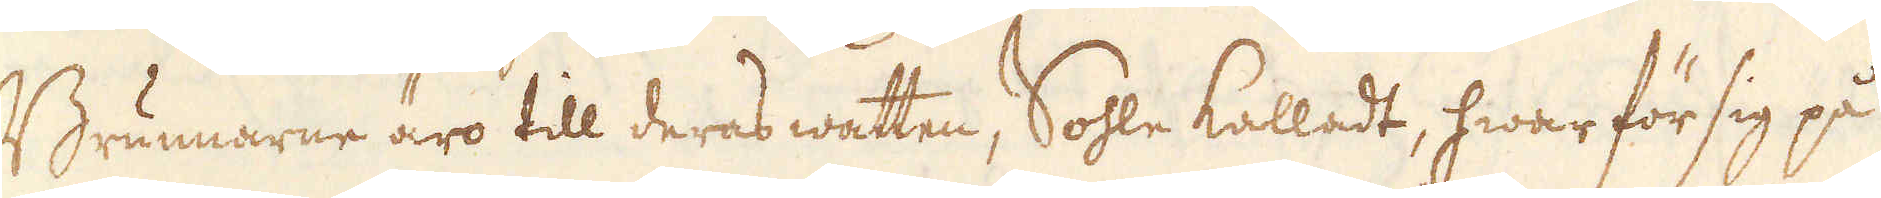Brunnarne äro till deras watten, Sohle kalladt, hwar för sig på
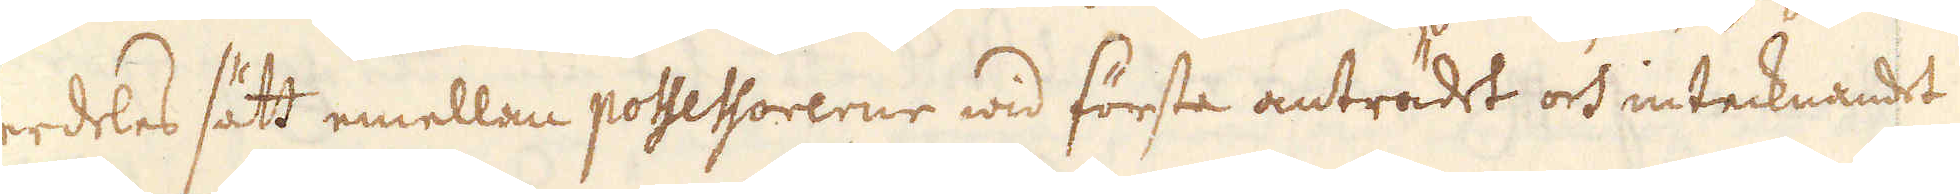serdeles sätt emellan possessorerne wid första anträdet och intecknandet
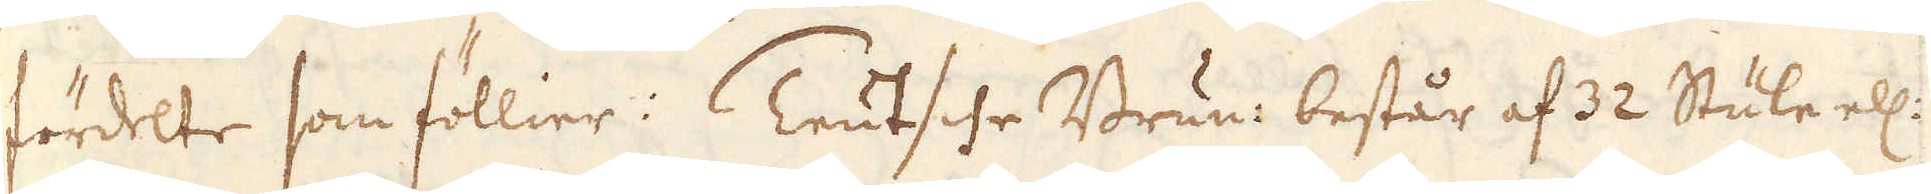fördelte som föllier: Teutsche Brun: består af 32 Stule ell:
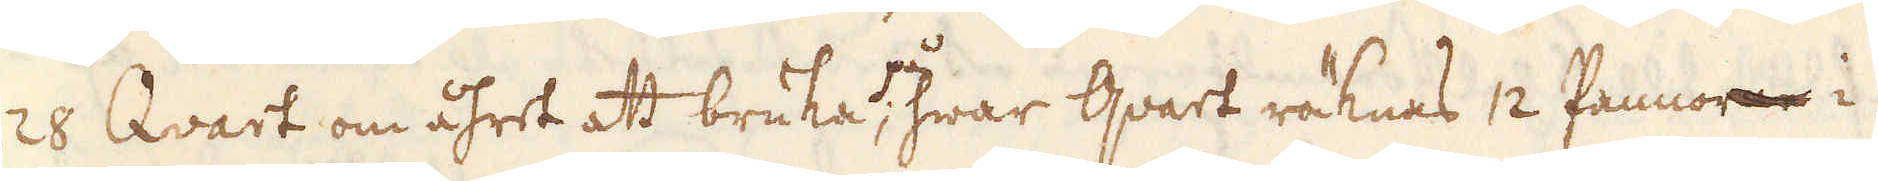128 Qvart om åhret att bruka, på hwar qvart räknas 12 Pannorne i
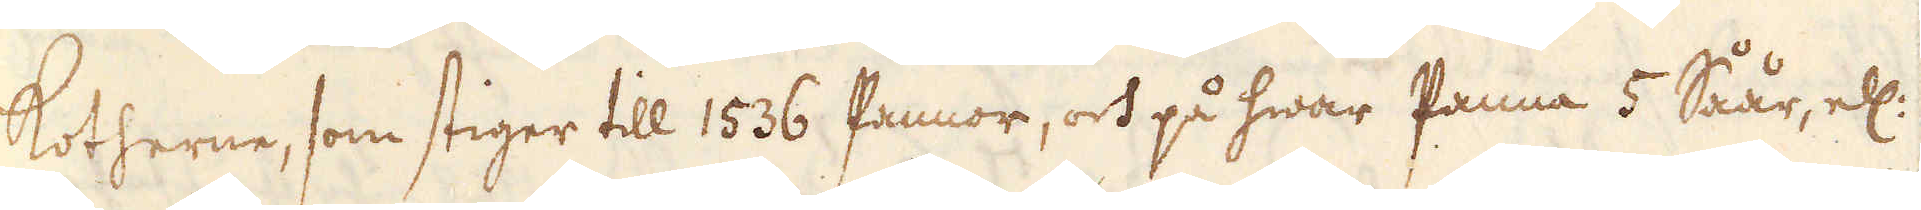Kotherne, som stiger till 1536 Pannor, och på hwar Panna 5 Såår, ell:
